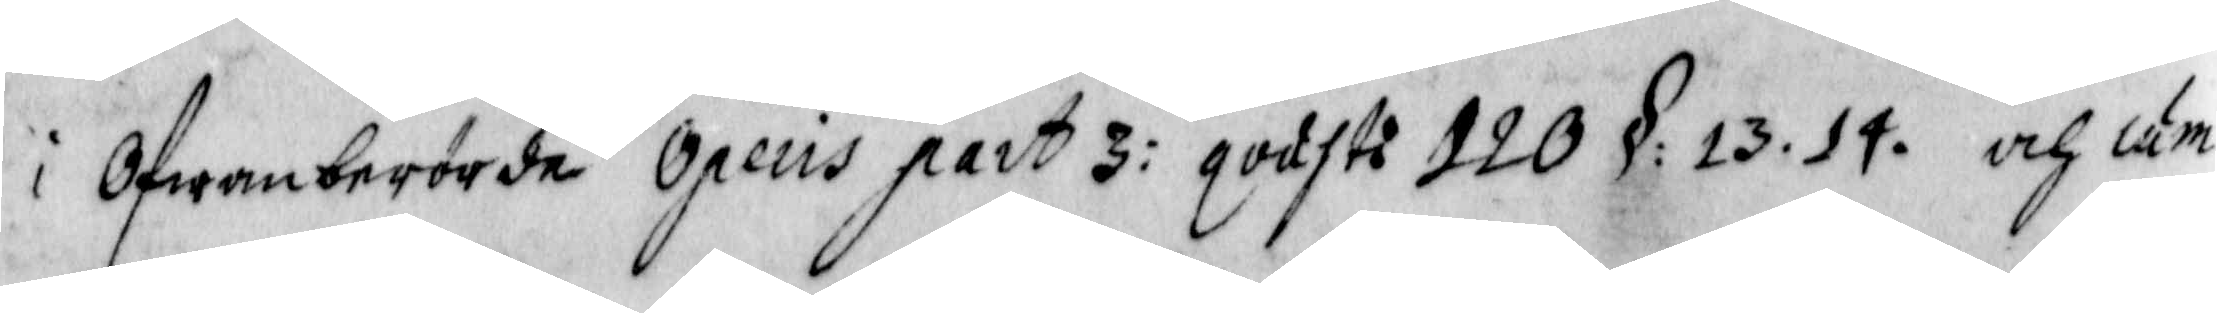i Ofwanberörde Opeus part 3: godst: 120 § 13. 14. och cum
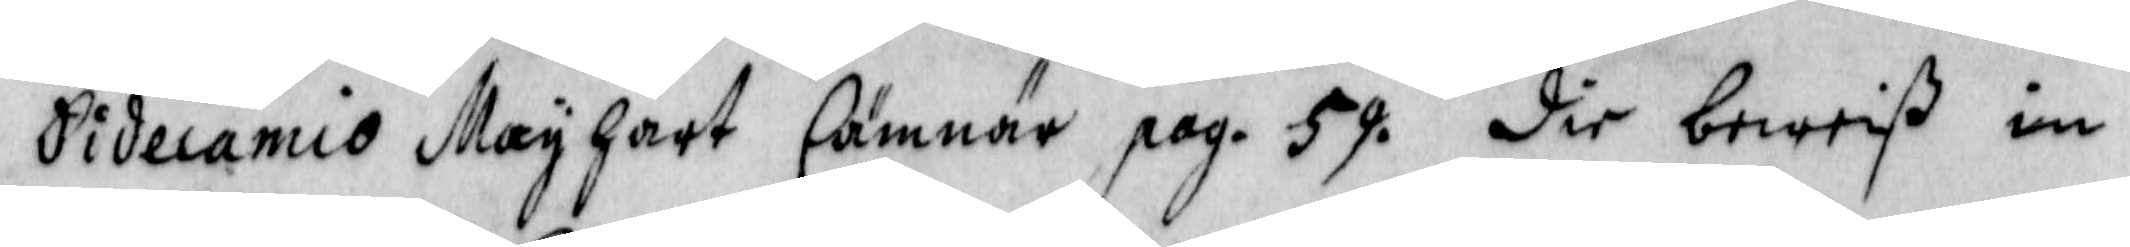Sidecamio Mayhart Cämnär pag. 59 dir bewiß im
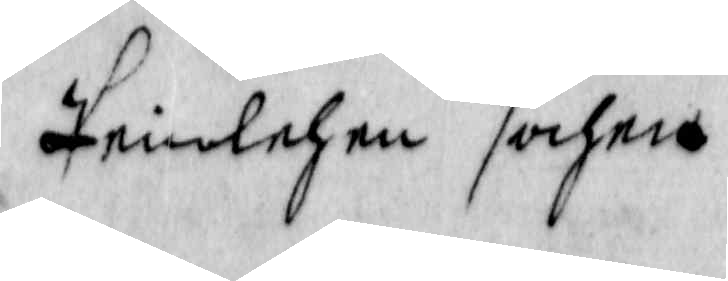Prinlehen sahna
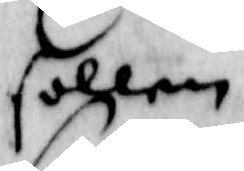follen
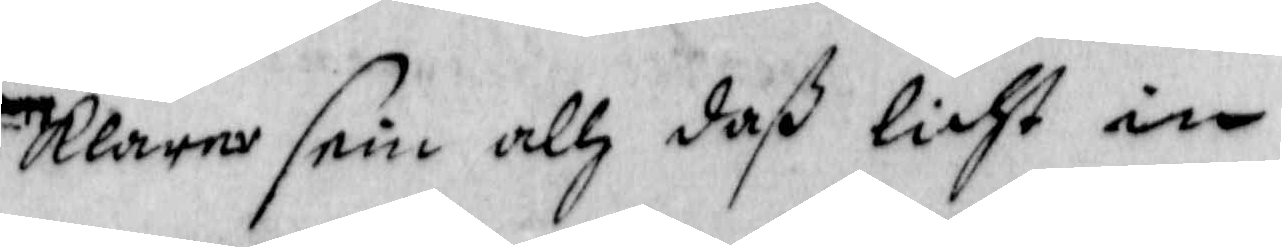klarna sein allz daß liht in
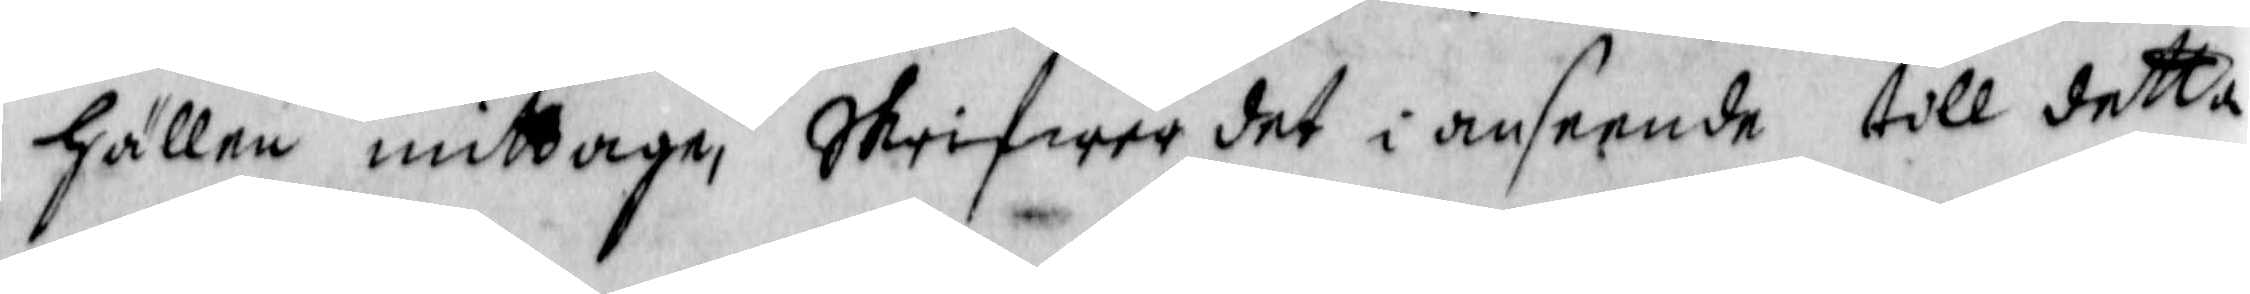hällen mittage, Skrifwer det i anseende till detta
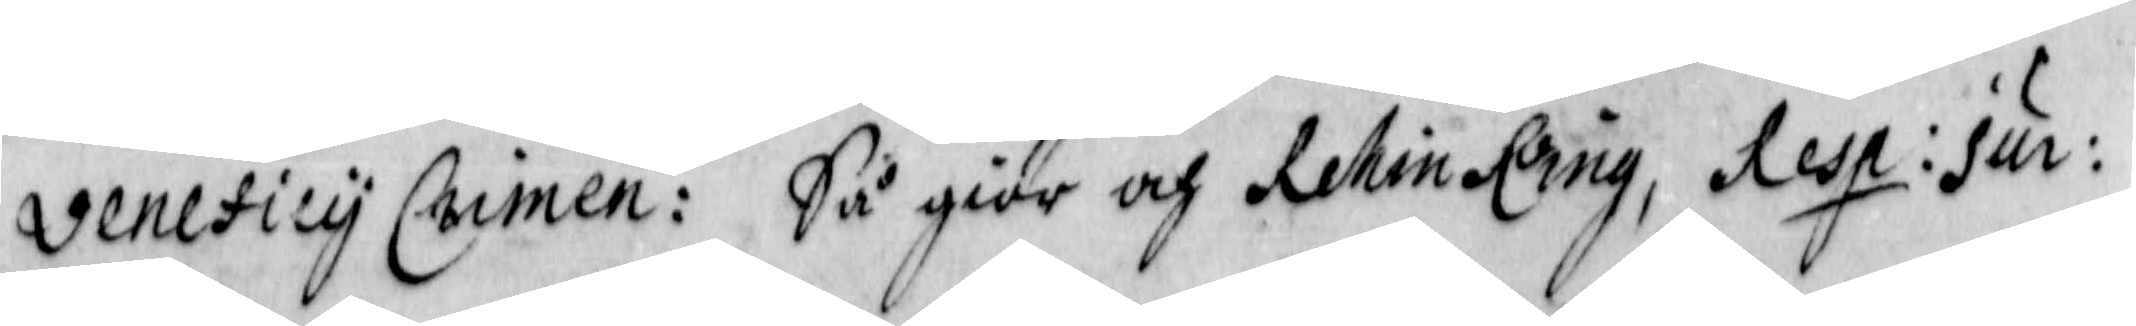veneticy Crimen: Så giör och Rehin Ring Resp: Sur:
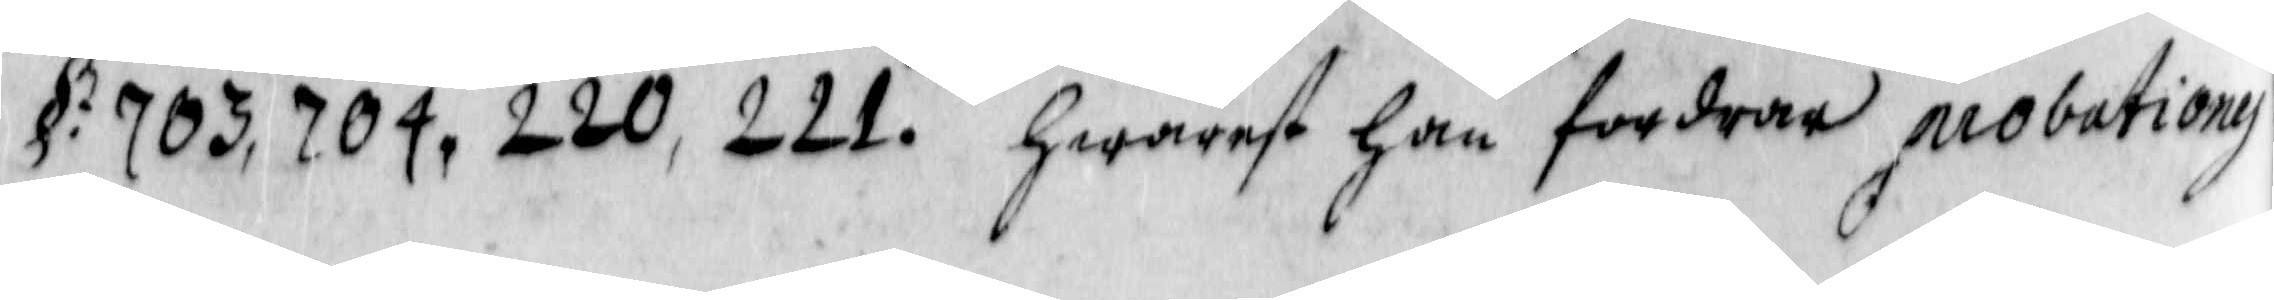§: 703, 704, 220, 221. hwarest han fordrar probationy
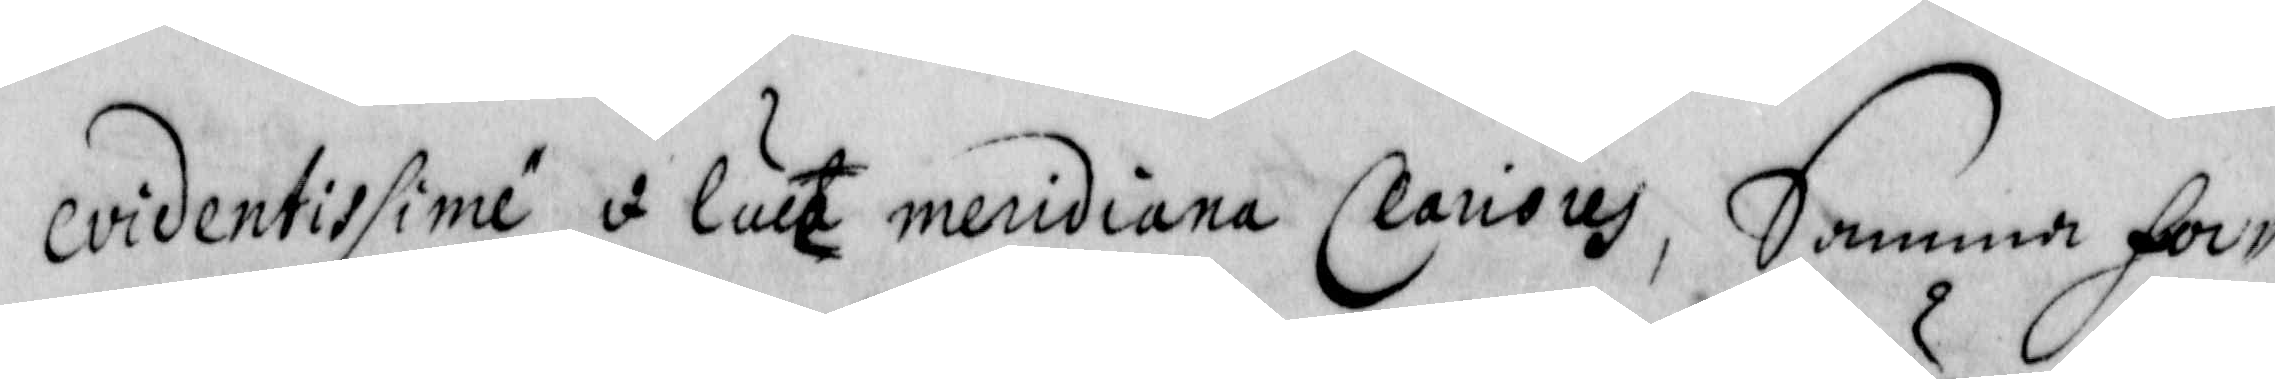evidentissime i luca meridiana Clarisus, Samma for¬
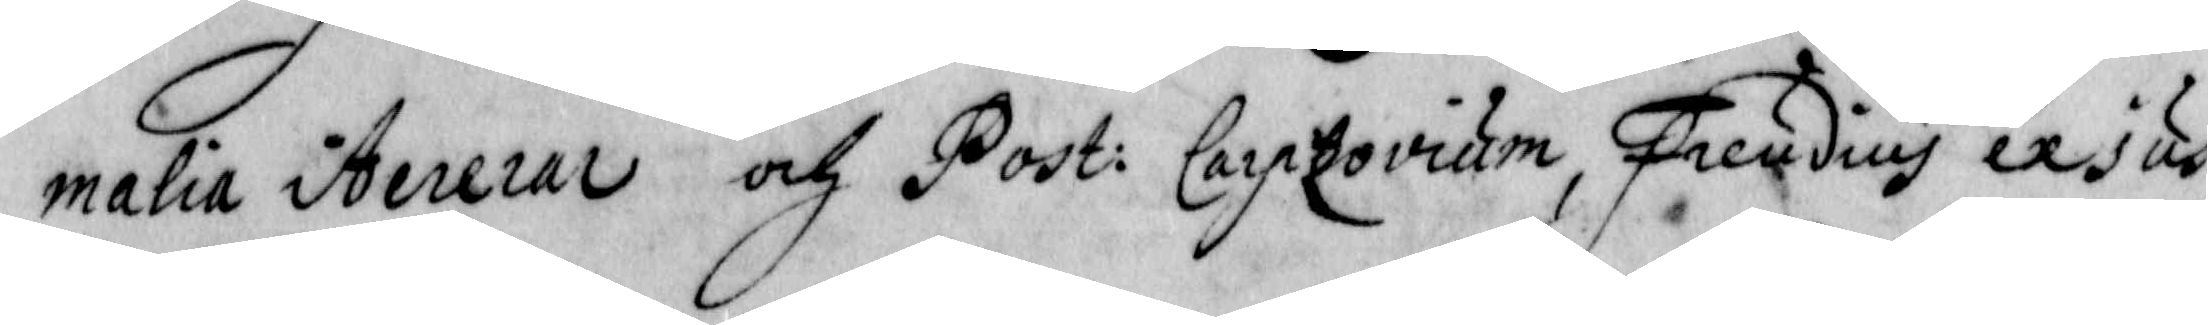malia Aererar och Post: Carptovium, Freudius exsus
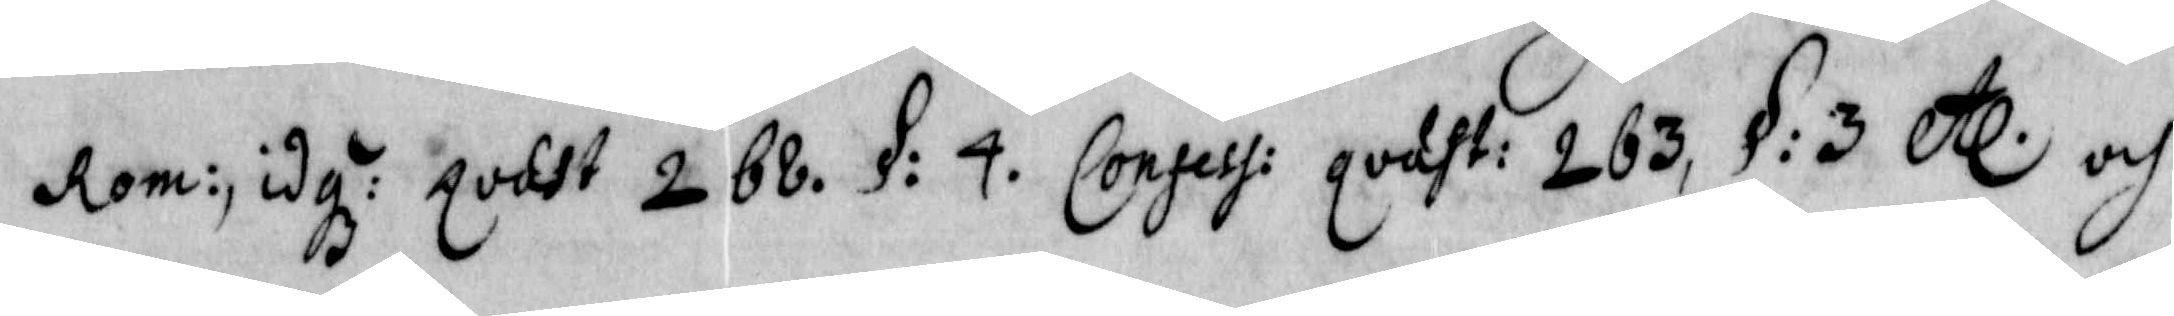Rom: idg: poast 2 68 §: 4. Consess: godht: 263, § 3 etc och
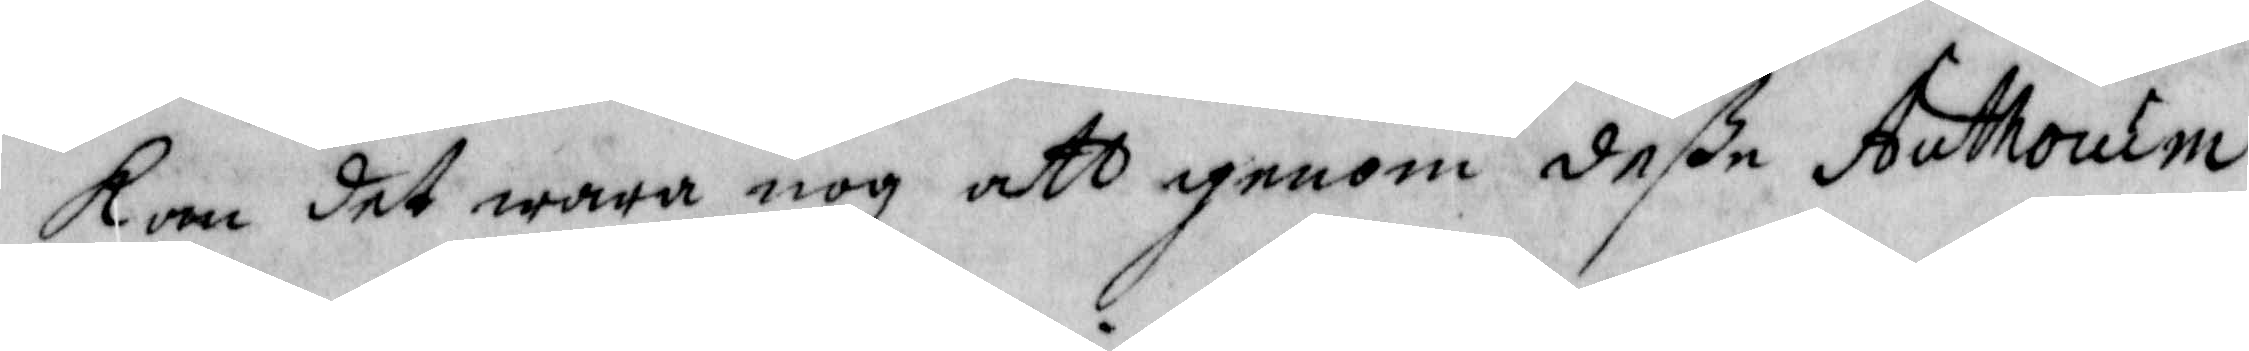kom det wara nog att igenom deße Authorum
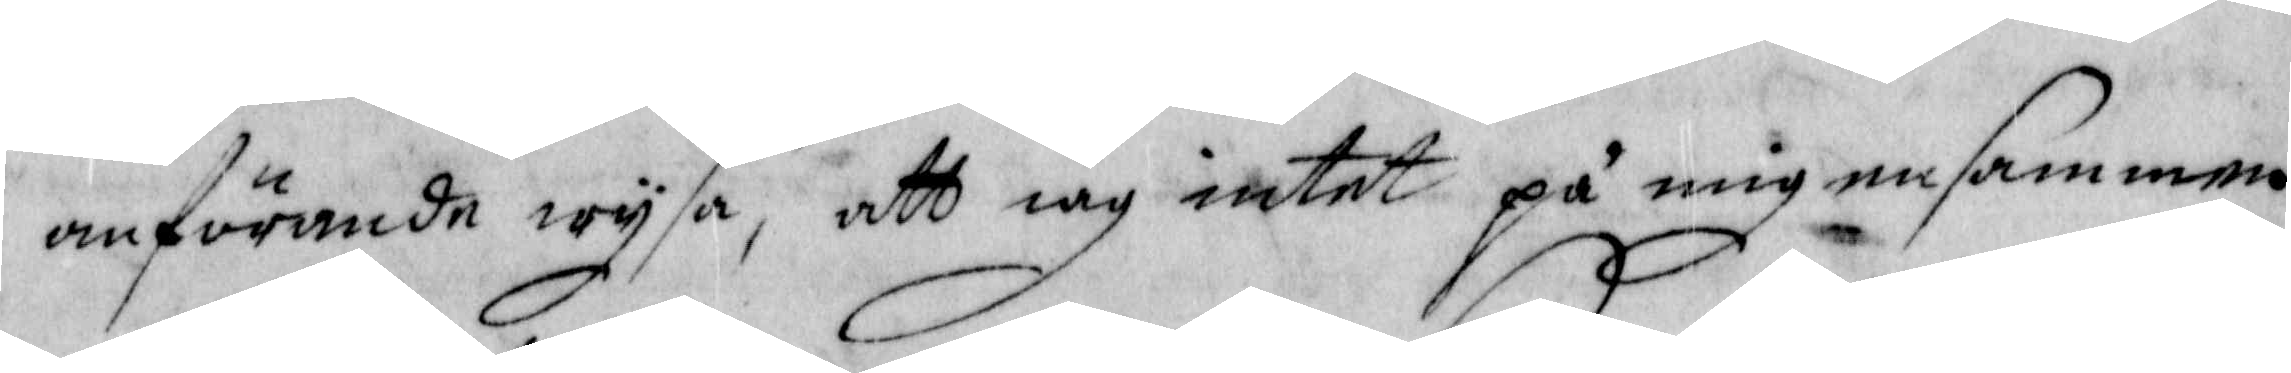anförande wysa, att iag intet på ig ensammen
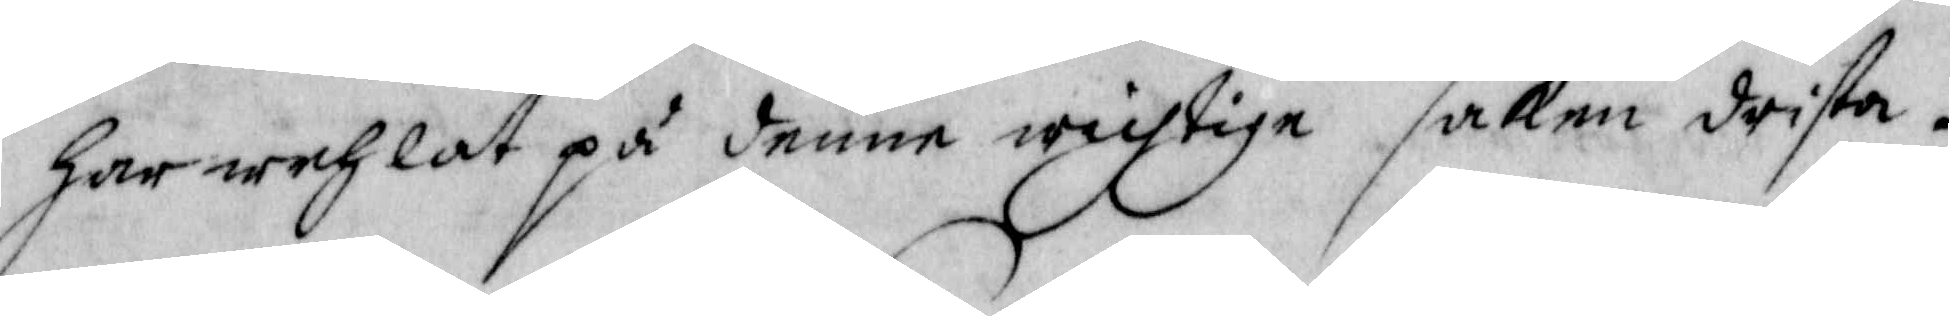har wehlat på denne wichtige saken drista.
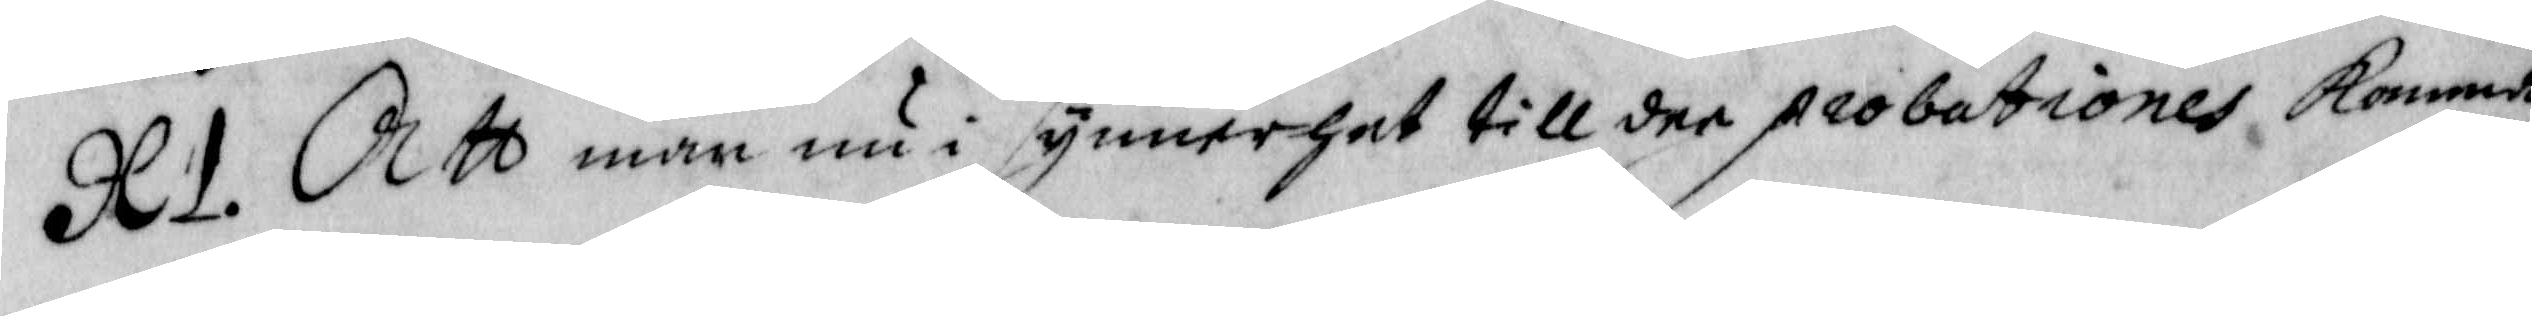XI. Att man nu i synnerhet till dee probationes komma
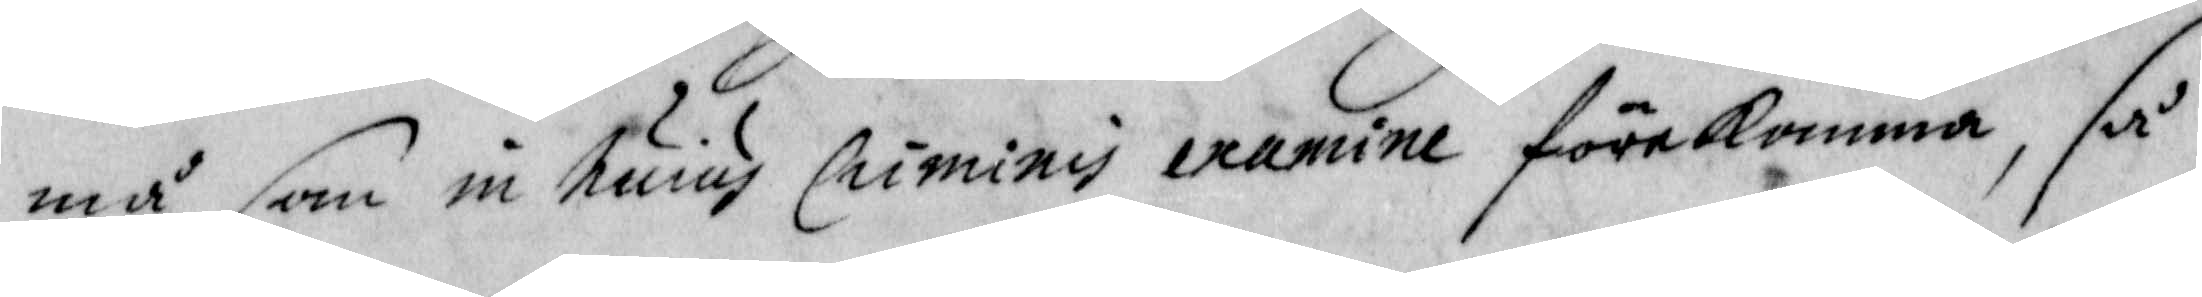må som in huius Criminy examine förekomma, så
